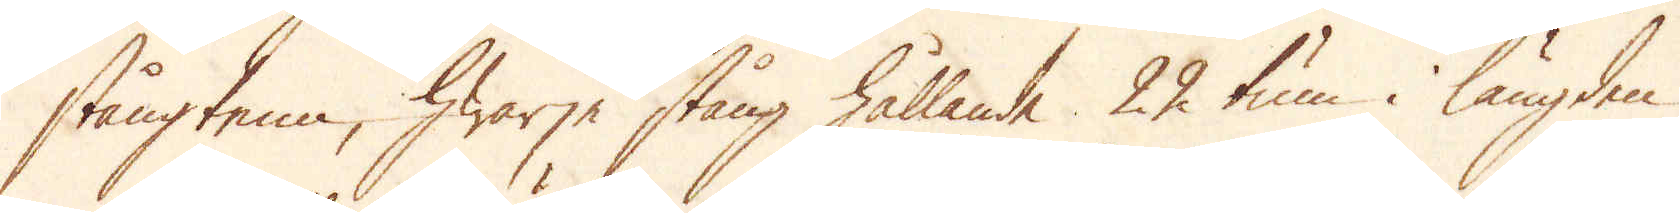stångtenn, hwarje stång hållande 22 tum i längden
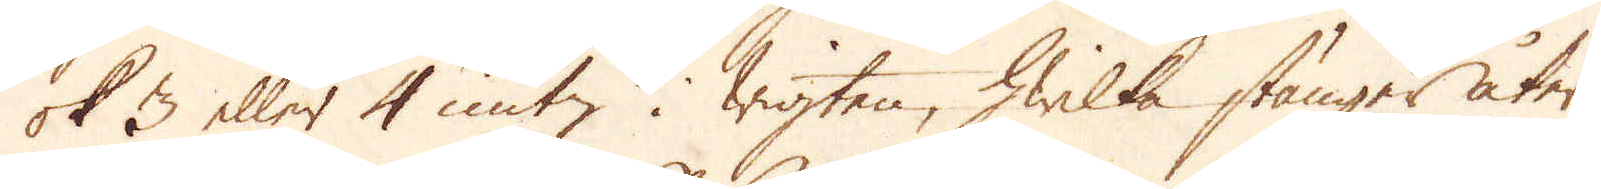ok 3 eller 4 untz i wigten, hwilka stänger åter
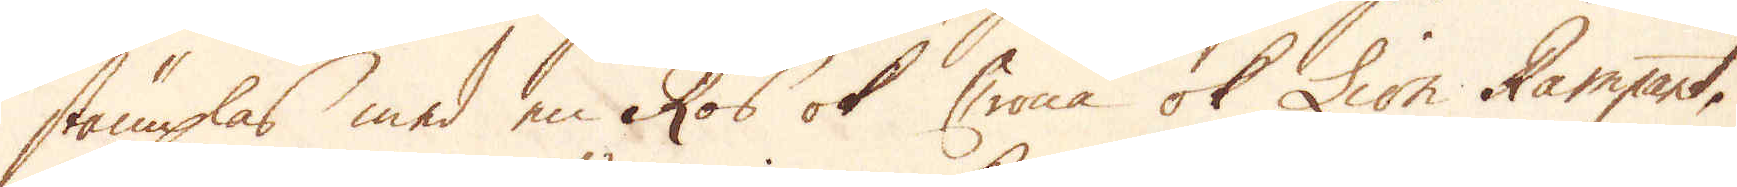stämplas med en Ros ok Crona ok Lion Rampant.
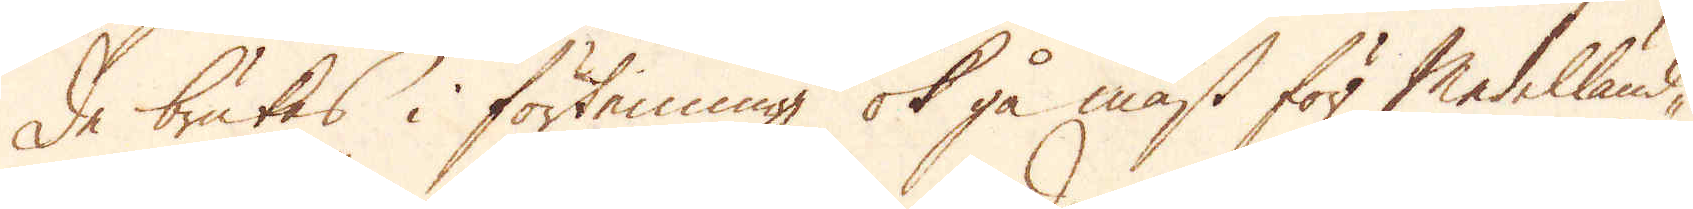De brukas i förtenning ok gå mäst för Medelländ-
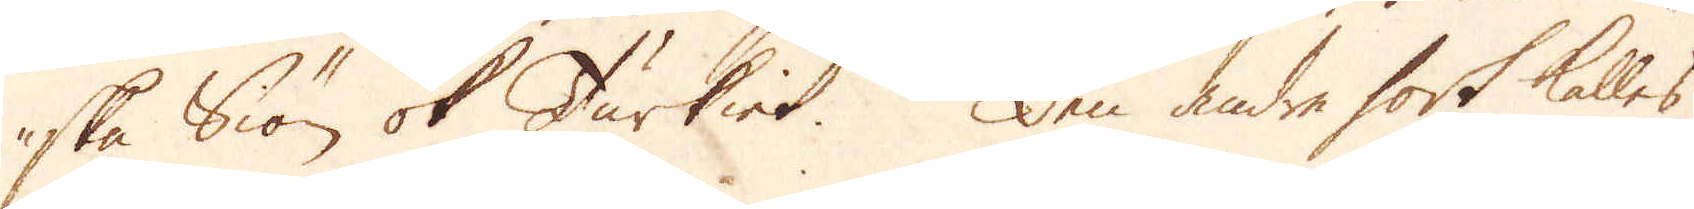ska Siön ok Turkiet. Den andre sort kallas
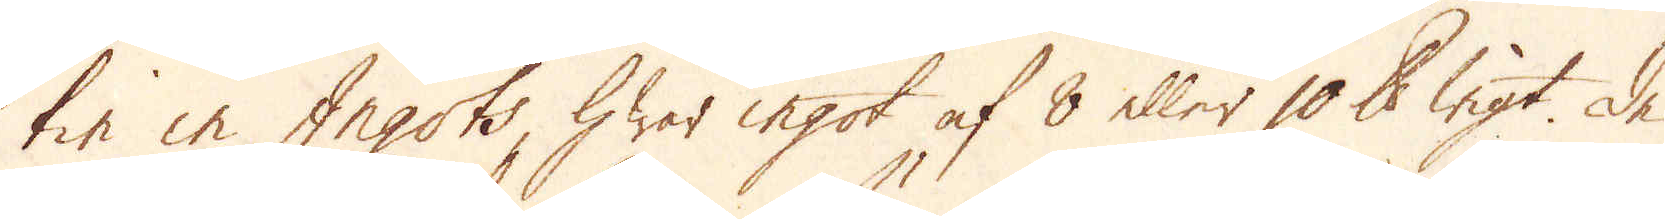tin in Ingots, hwar ingot af 8 eller 10 skålpunds wigt. De
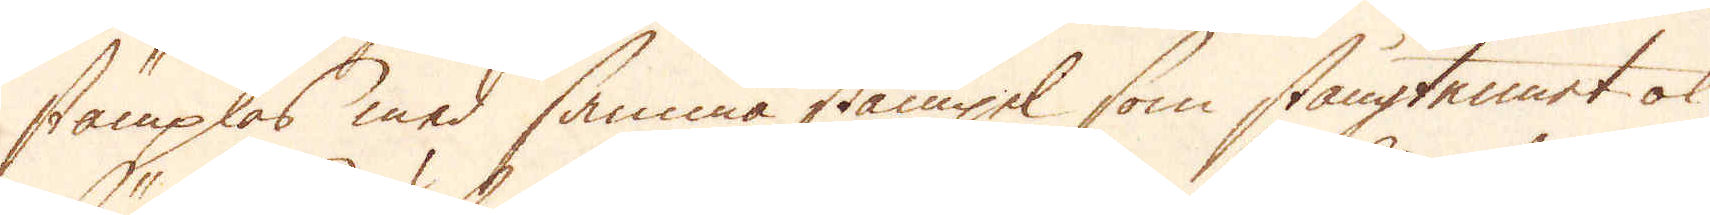stämplas med samma stämpel som stångtennet ok
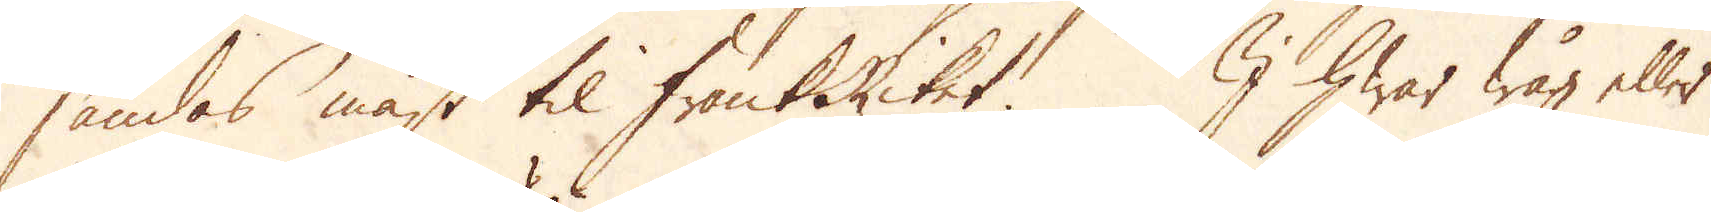sändas mäst til FrankRiket. I hwar wåg eller
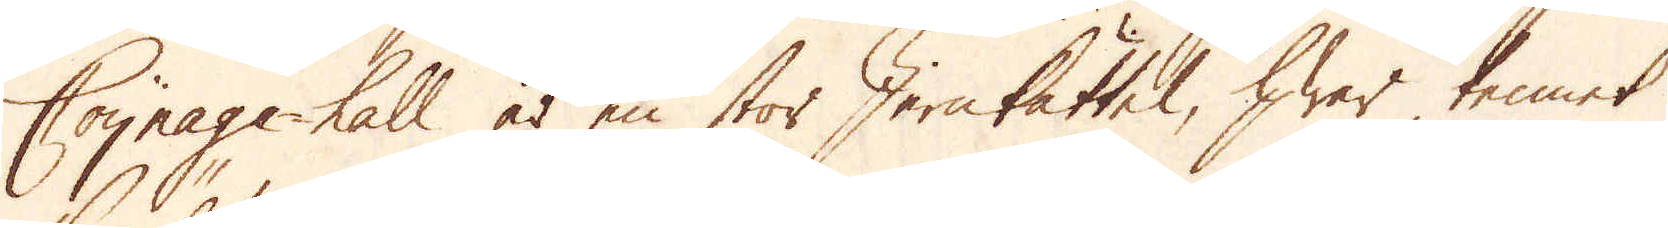Coynage hall är en stor Jernkättel, hwar tennet
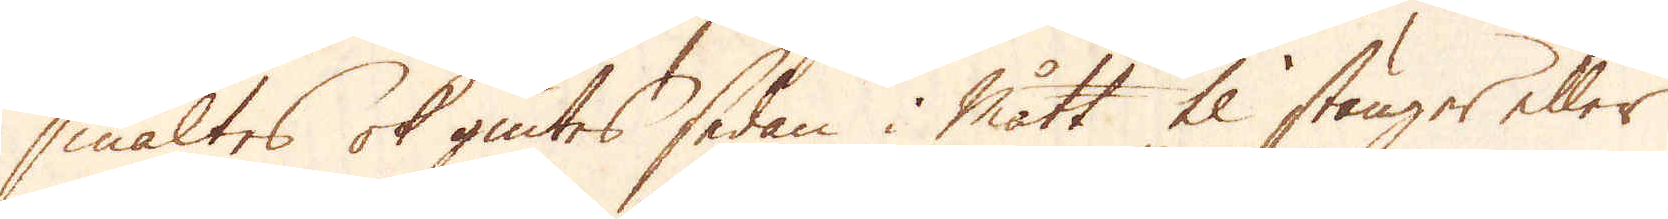smältes ok giutes sedan i mått til stänger eller
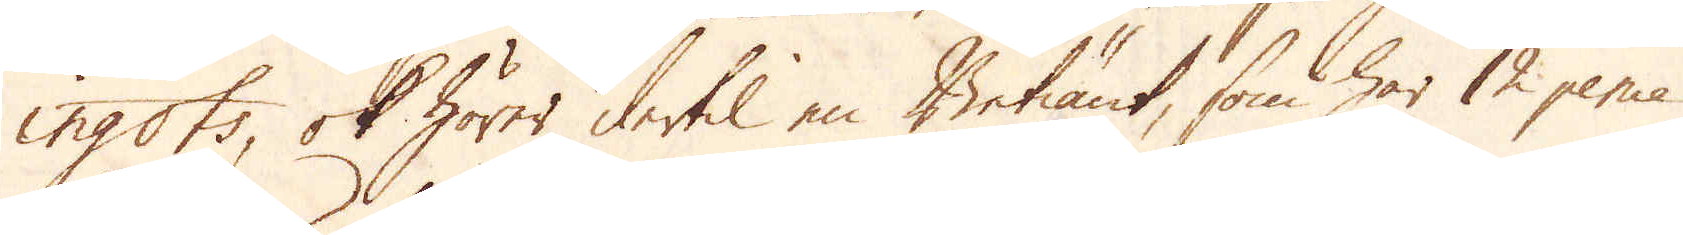ingots, ok hörer dertil en Betiänt, som har 12 pence
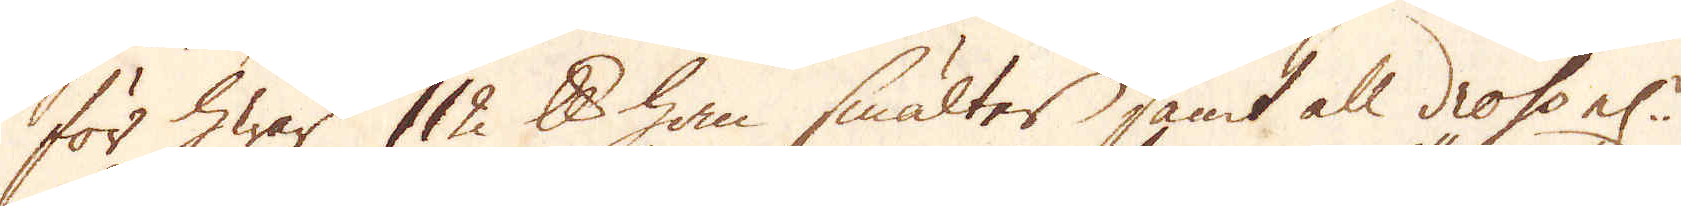för hwar 112 skålpund han smälter samt all drop el:r
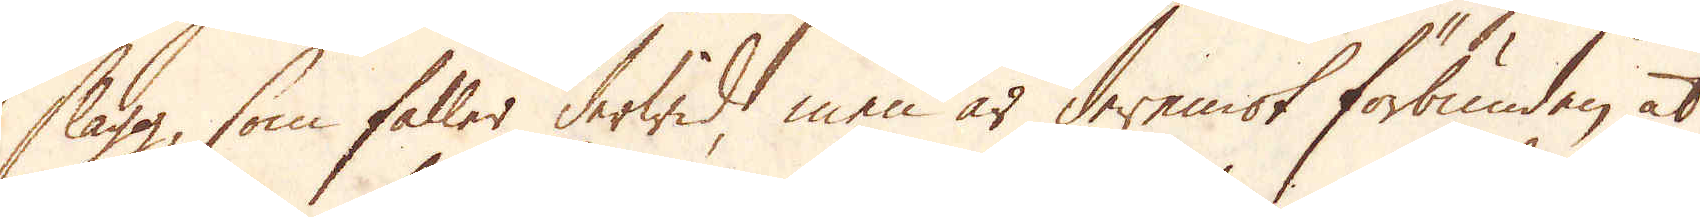slagg, som faller derwid, men är deremot förbunden, at
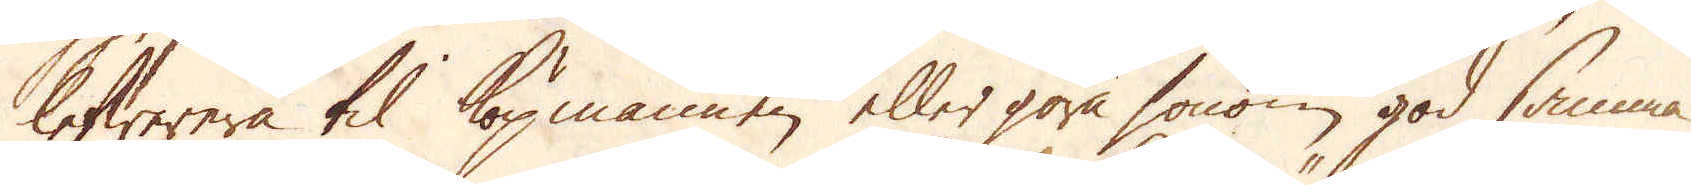lefwerera til köpmannen eller göra honom god samma
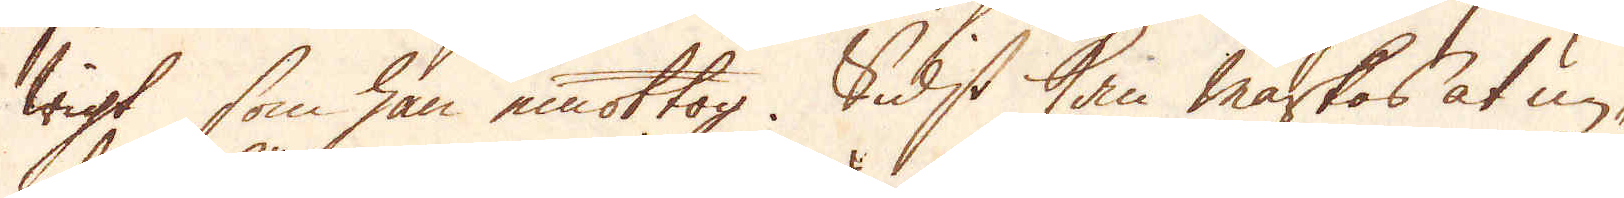wigt som han emottog. Sidst kan märkas at un-
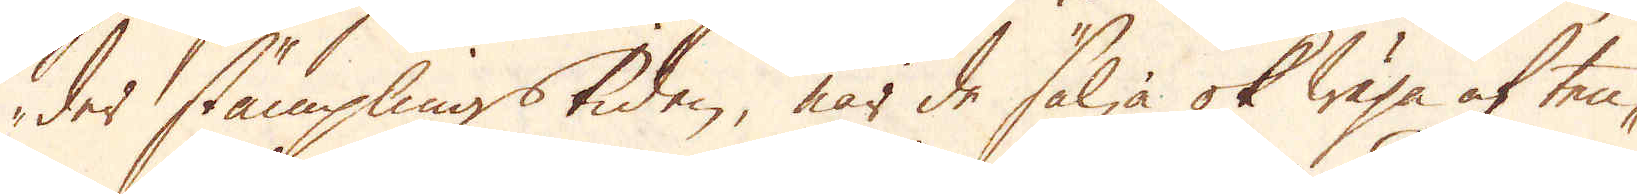der stämplingstiden, när de sälja ok wäga af ten-
